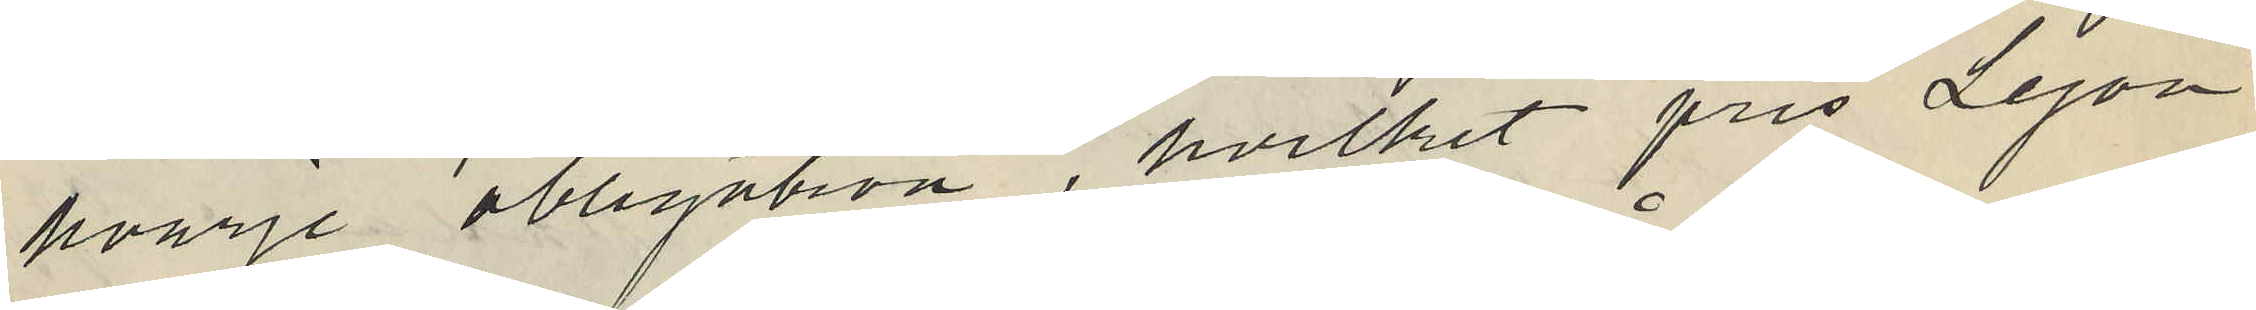hvarje obligation, hvilket pris Lejon
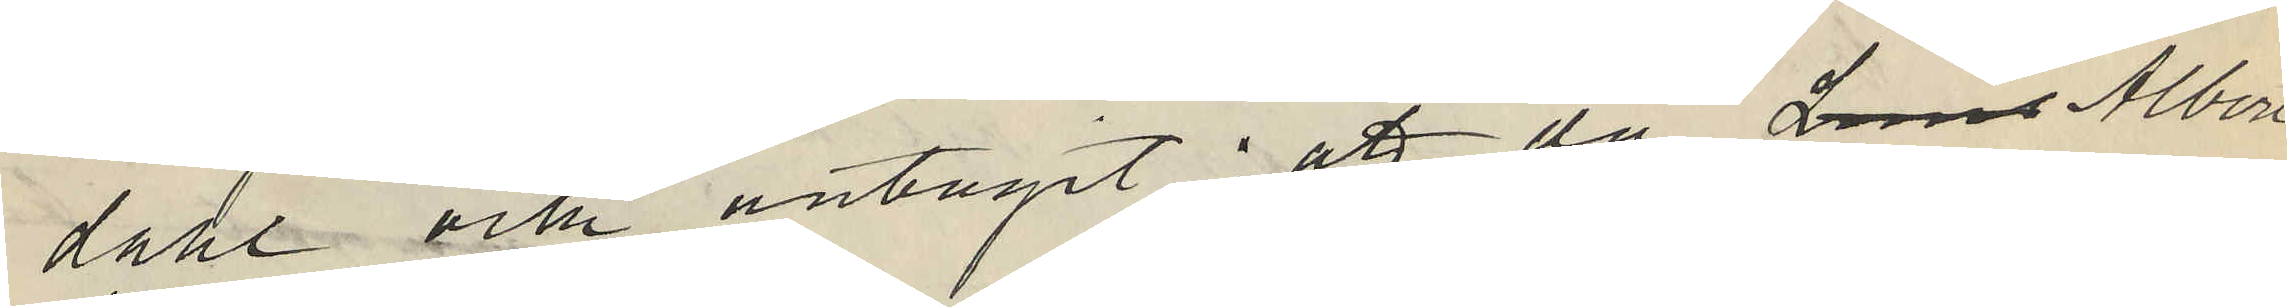dahl och antagit; att då Las Albert
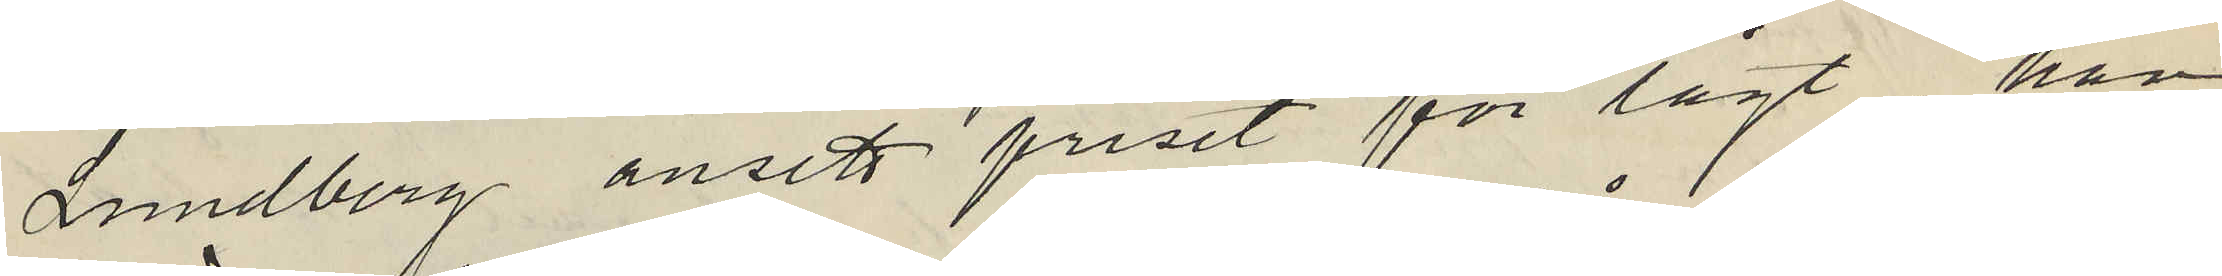Lundberg ansett priset för lågt, han
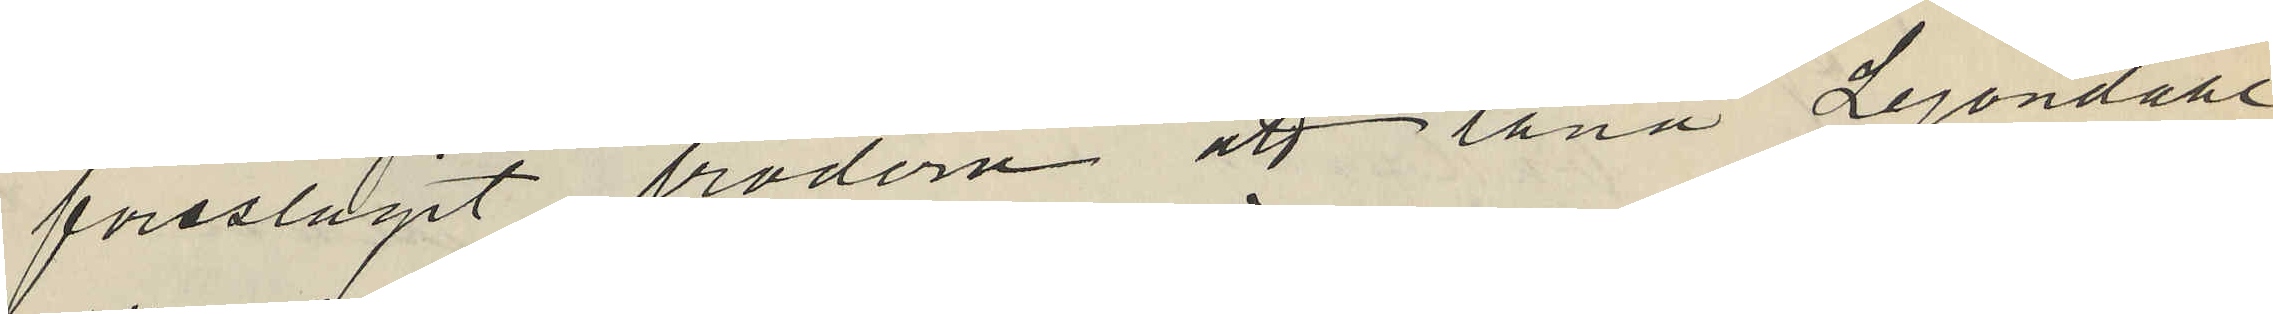föreslagit brodern att låna Lejondahl
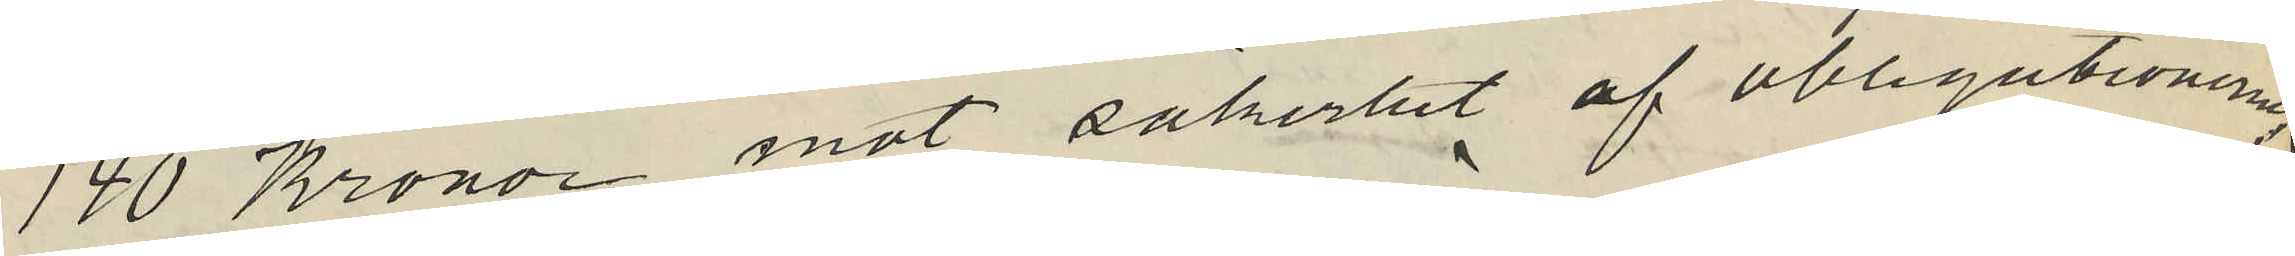140 Kronor mot säkerhet af obligationerna
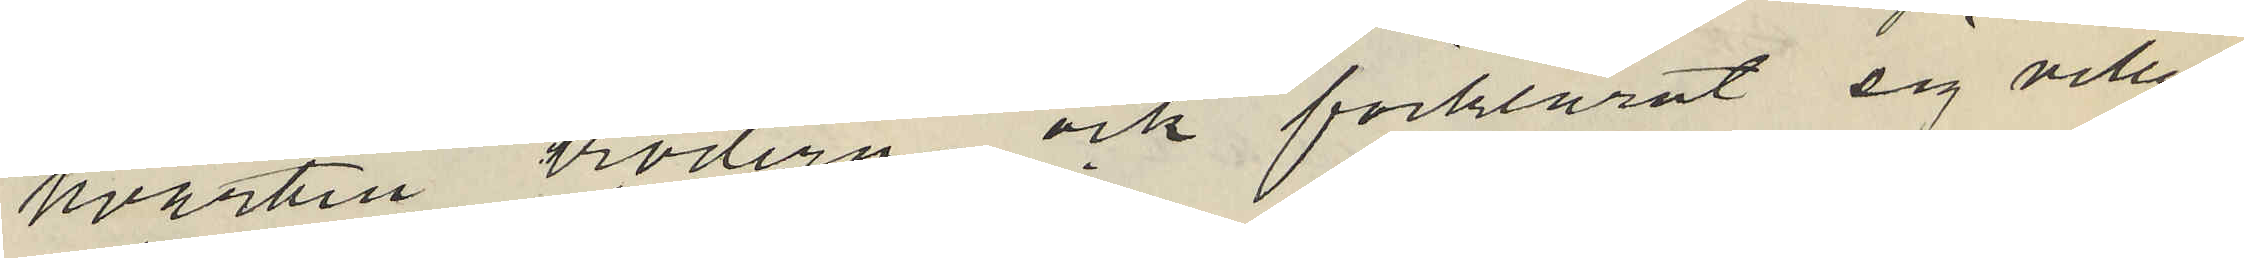hvartill brodern och förklarat sig villig
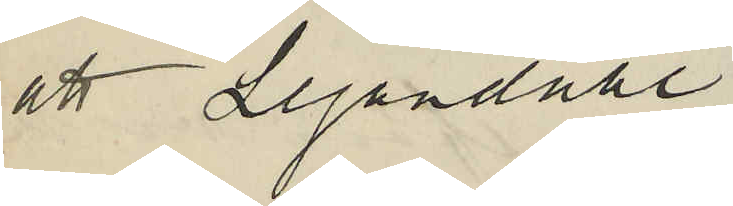att Lejondahl
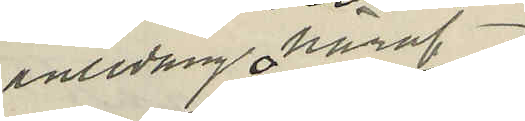anledning häraf
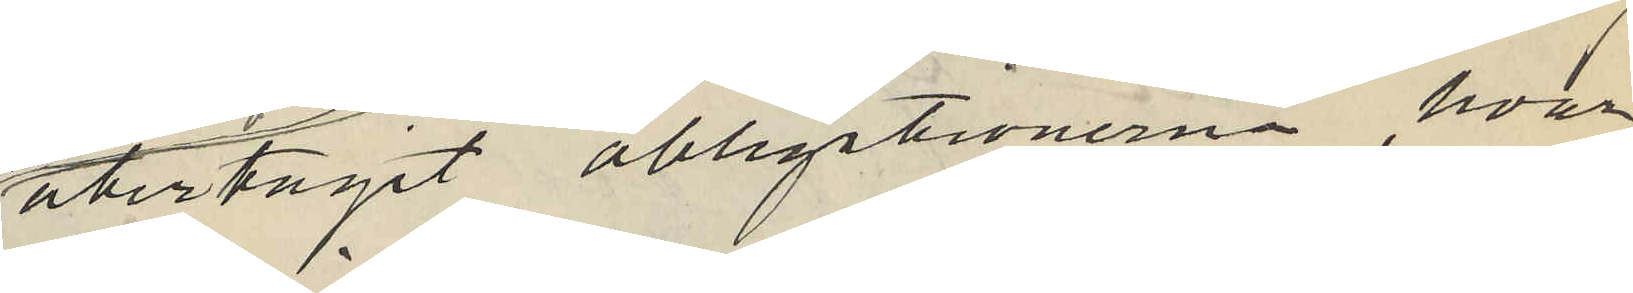återtagit obligationerna, hvar
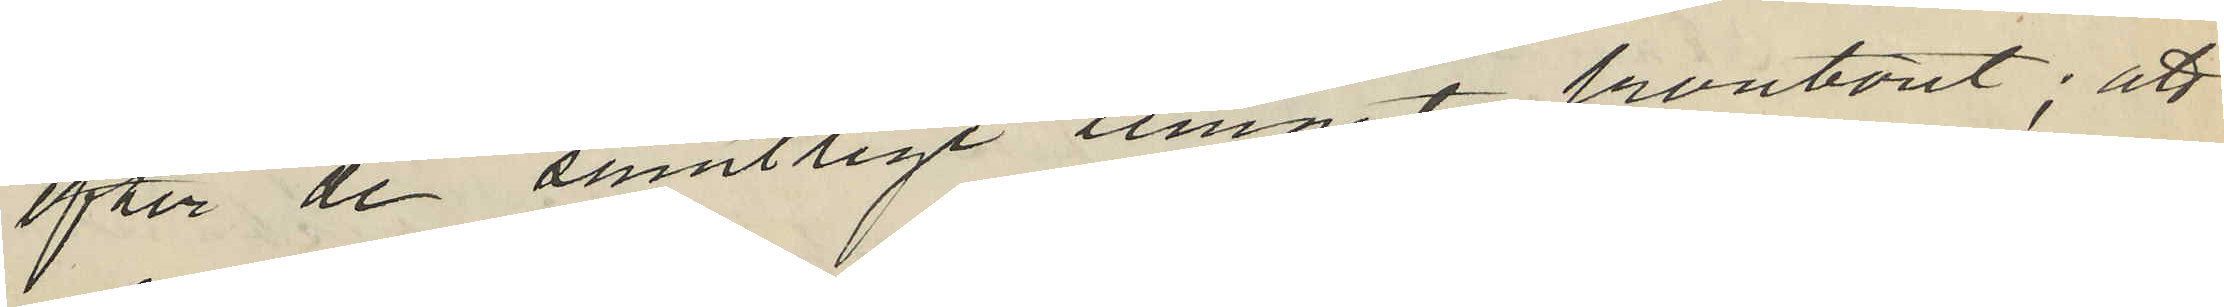efter de samtlige lemnat kontoret; att
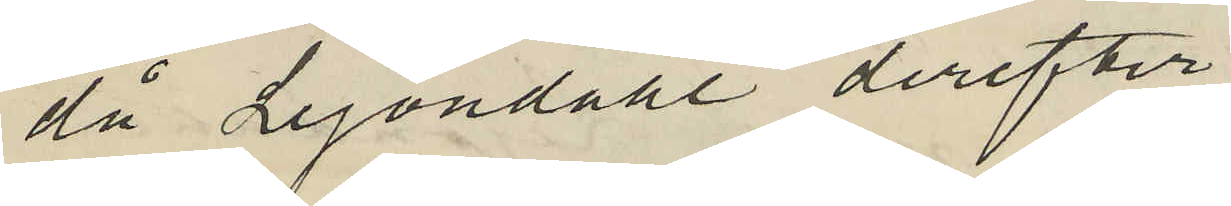då Lejondahl derefter
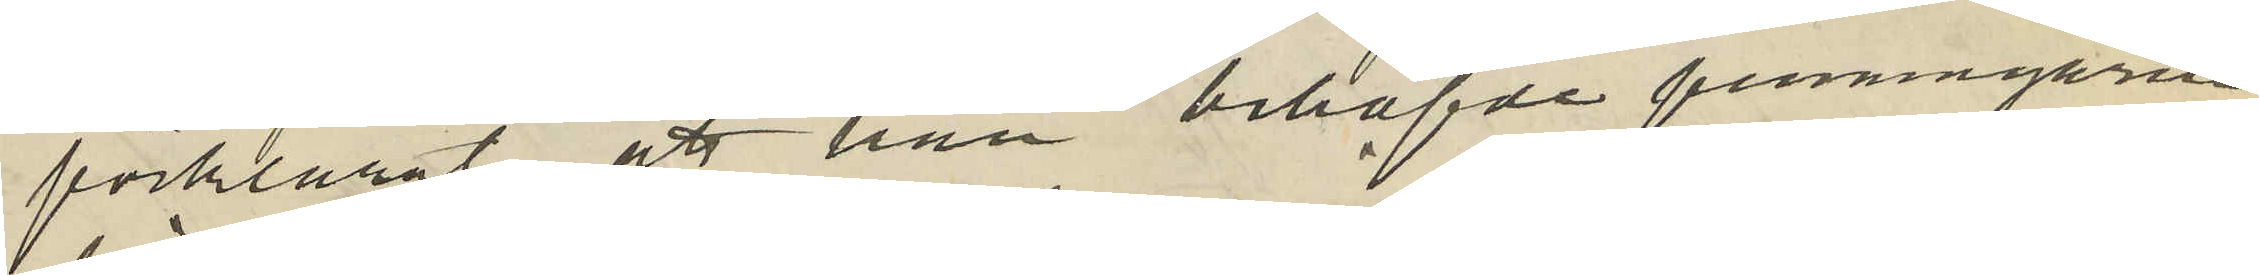förklarat att han behöfvde penningarne
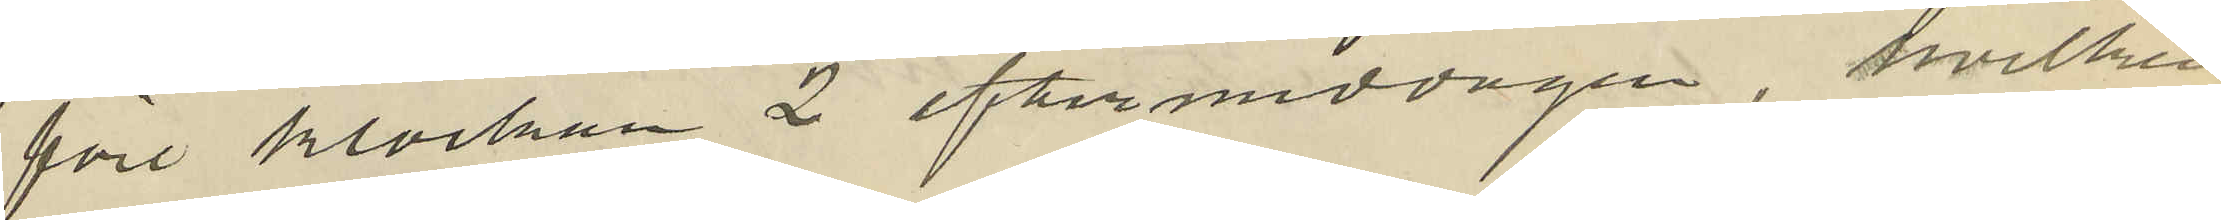före klockan 2 eftermiddagen, hvilken
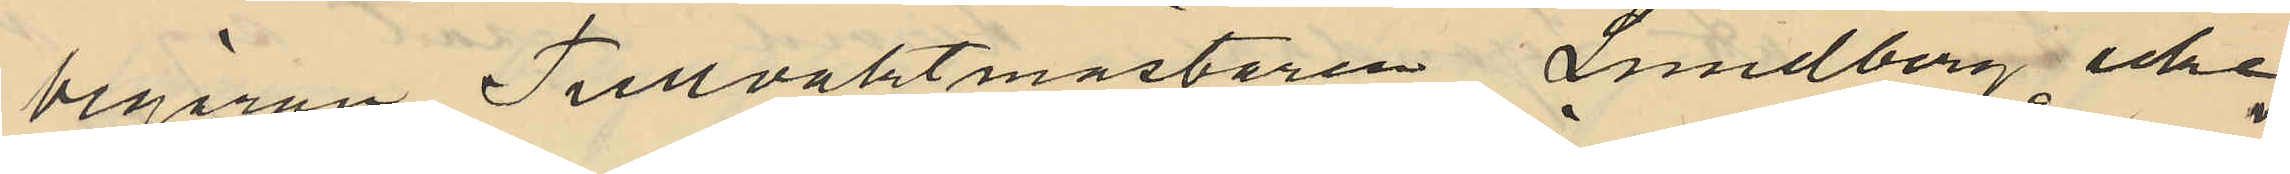begäran Tullvaktmästaren Lundberg icke
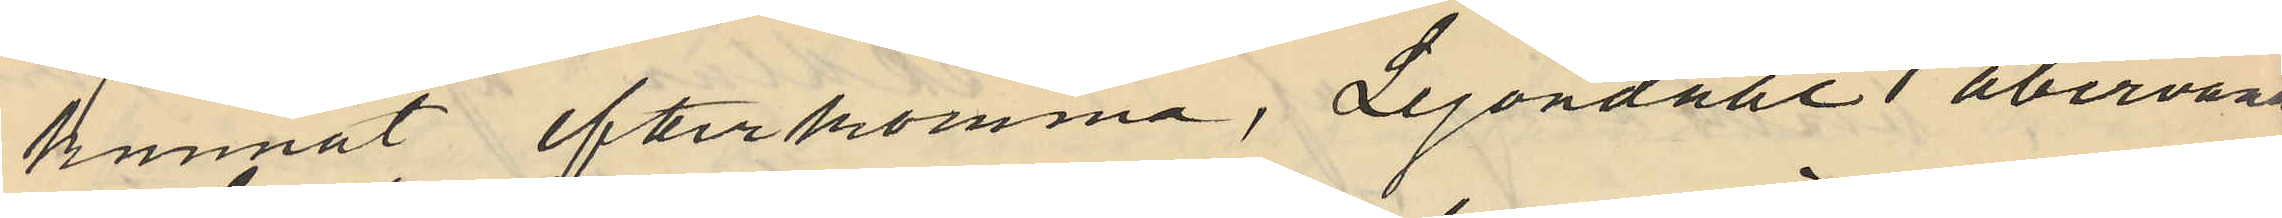kunnat efterkomma, Lejondahl återvände
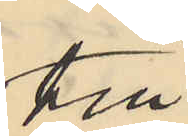till
